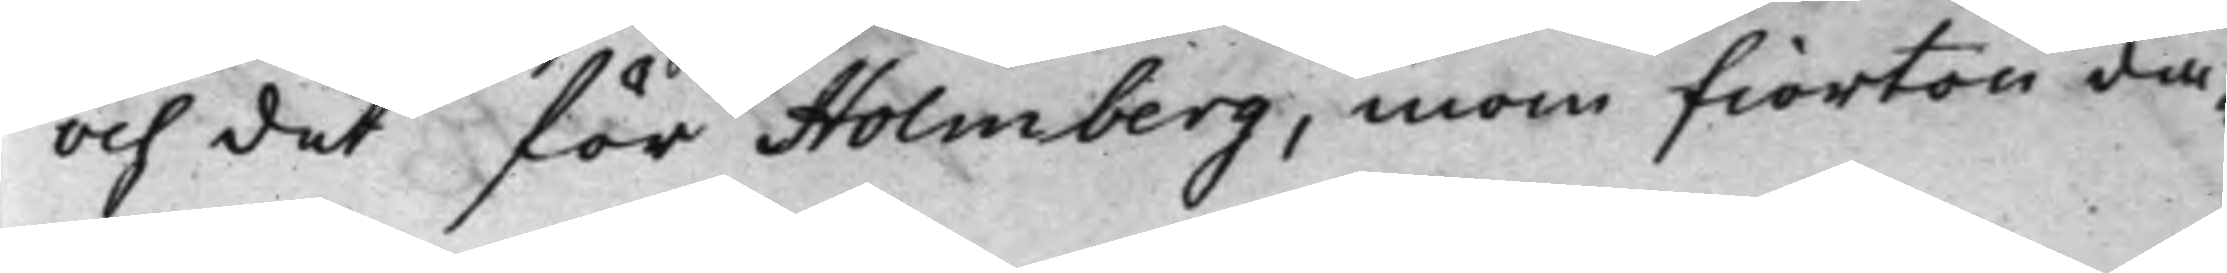och det för Holmberg, inom fiorton da¬
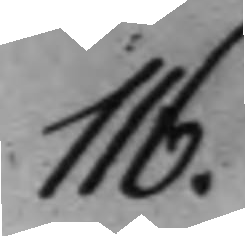116.
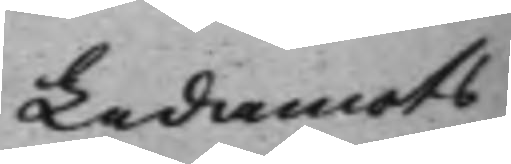Ledamots 
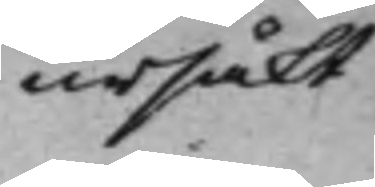ursäkt.
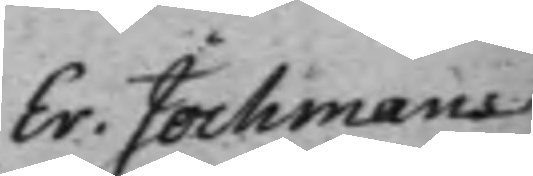Er. Jochmans 
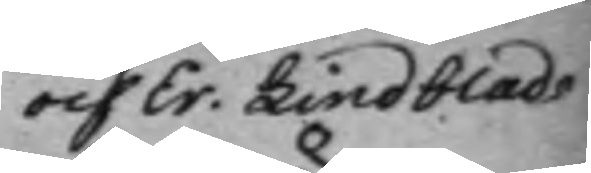och Er. Lindblads 
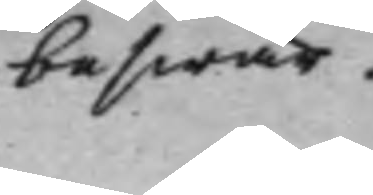beswär.
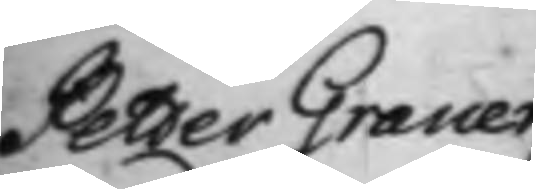Petter Graner
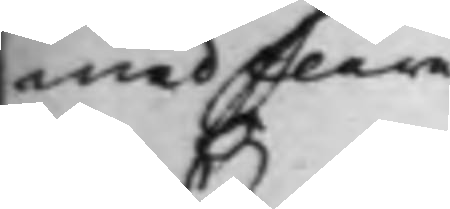med flere
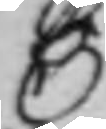C
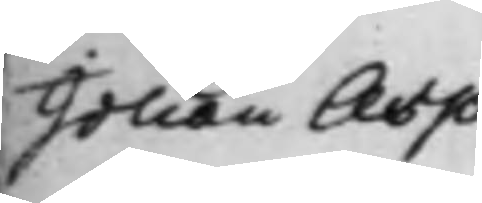Johan Asp
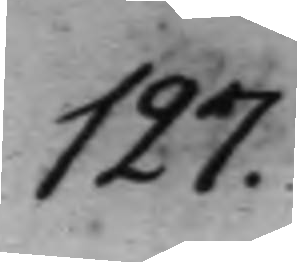127.
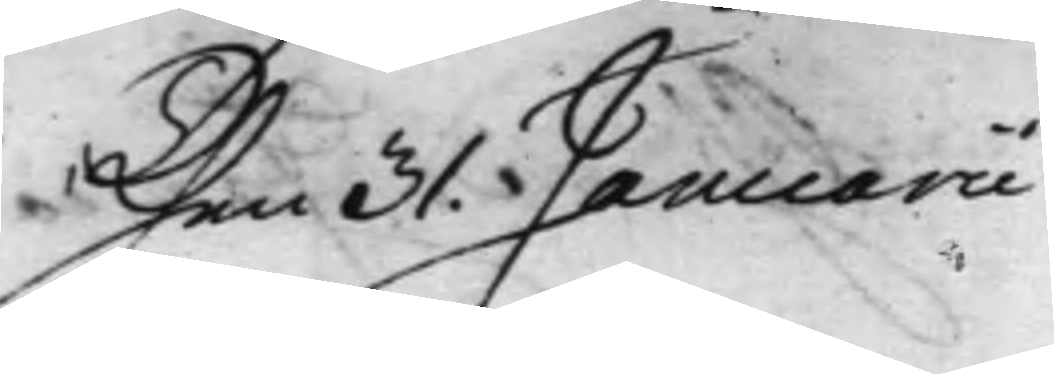Then 31. Januarii
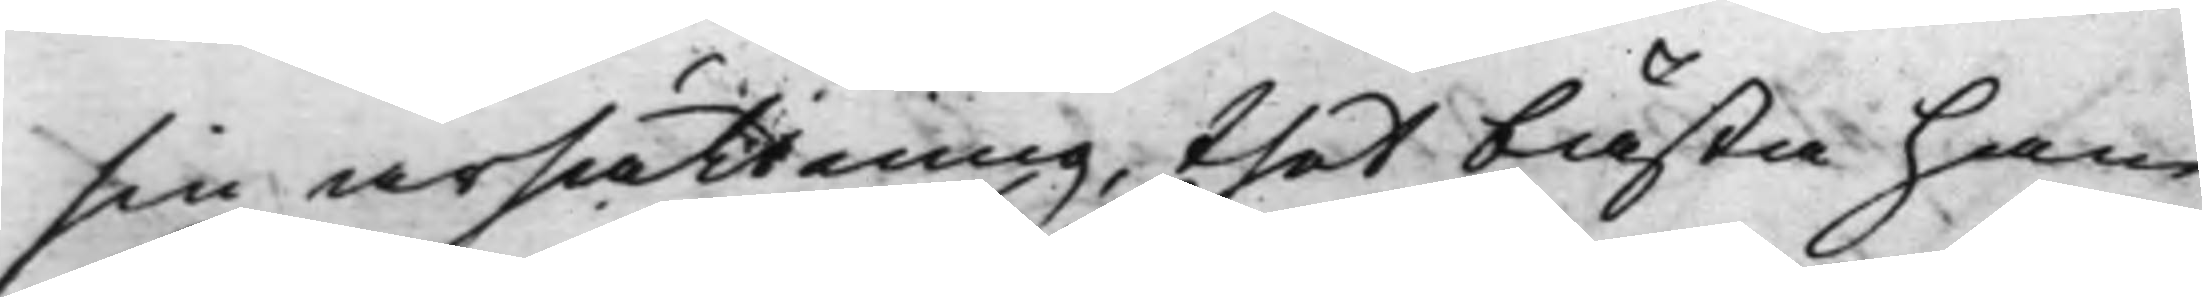sin ärsättning, thet bästa han
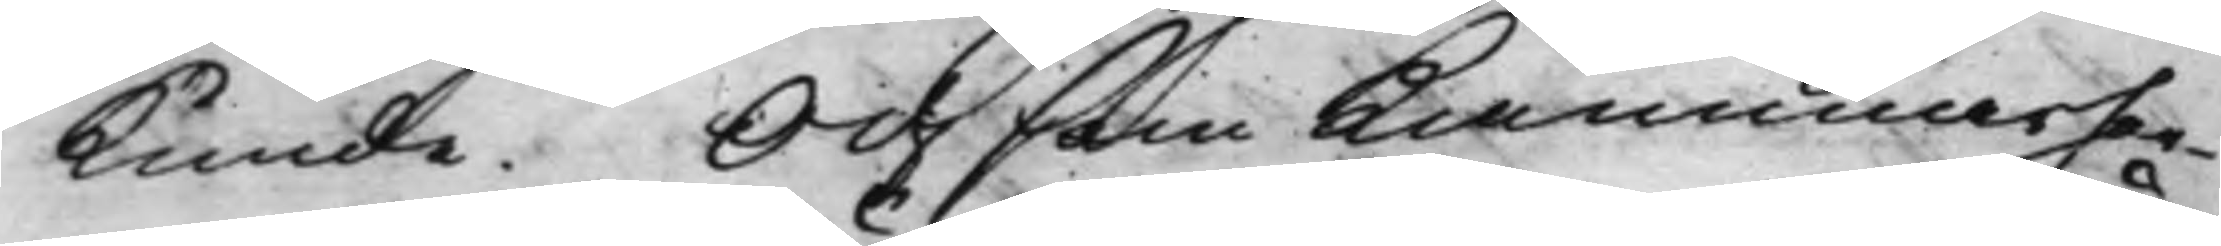kunde. Och som Kammarher¬
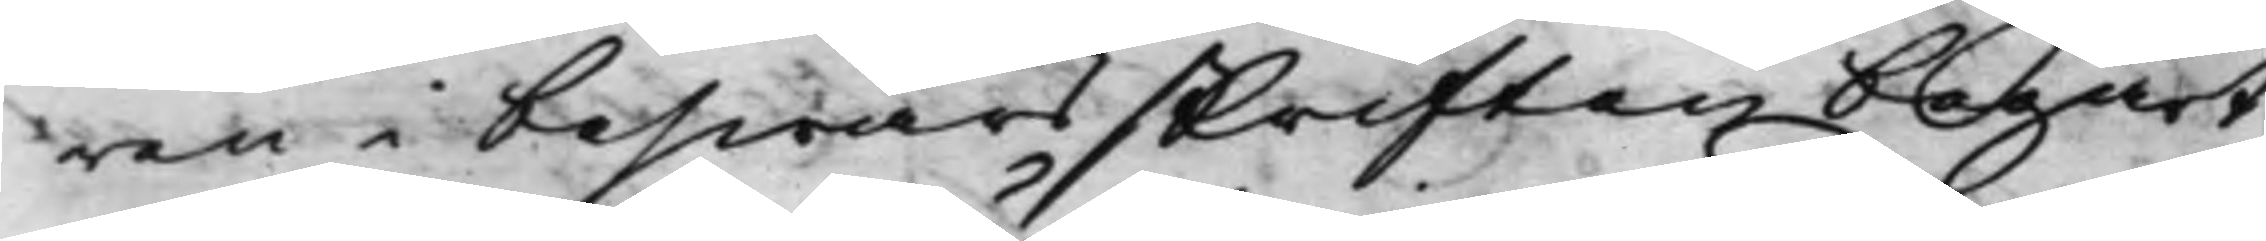ren i beswärsskriften begärt,
